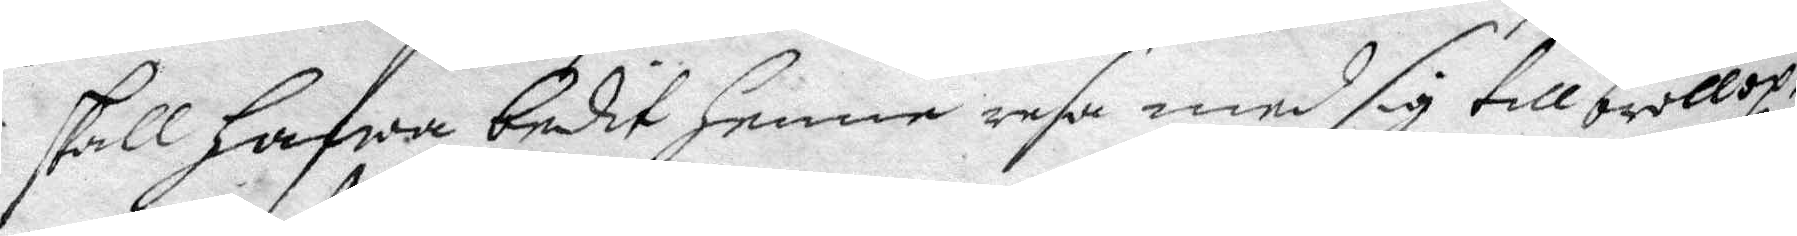skall hafwa bedit henne resa med sig till bröllop;
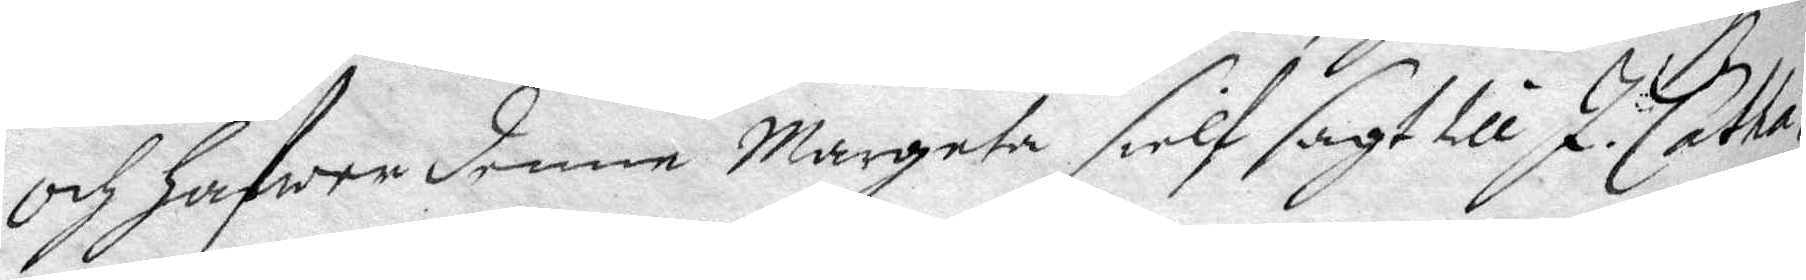och hafwa denne Margeta sielf sagt till J. Catha¬
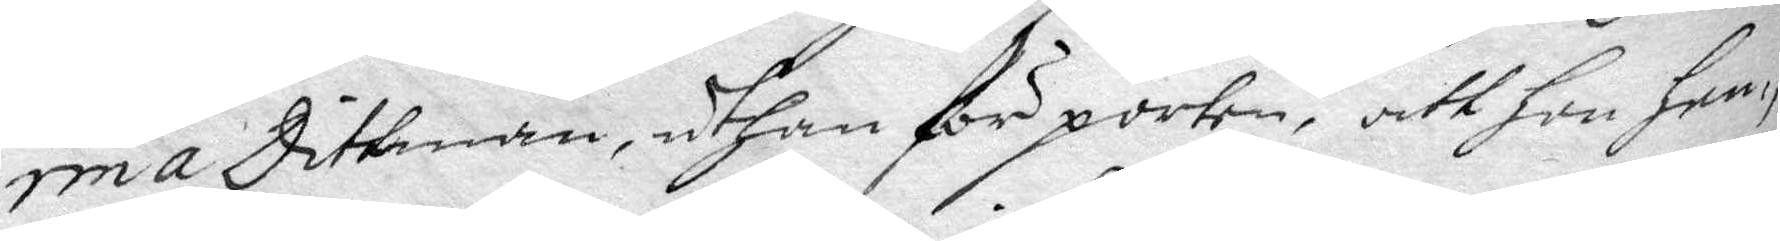rina Dittman, uthan för porten, att hon hen¬
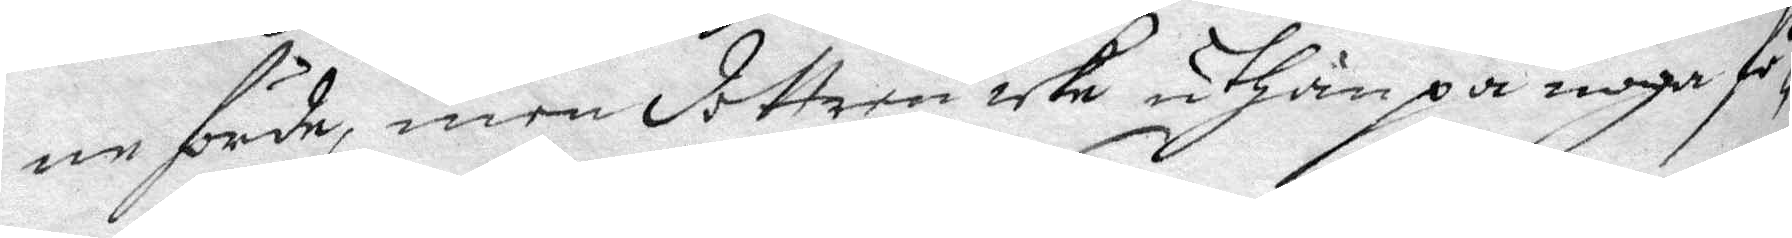ne förde, men dottren icke uthan på noga fö¬
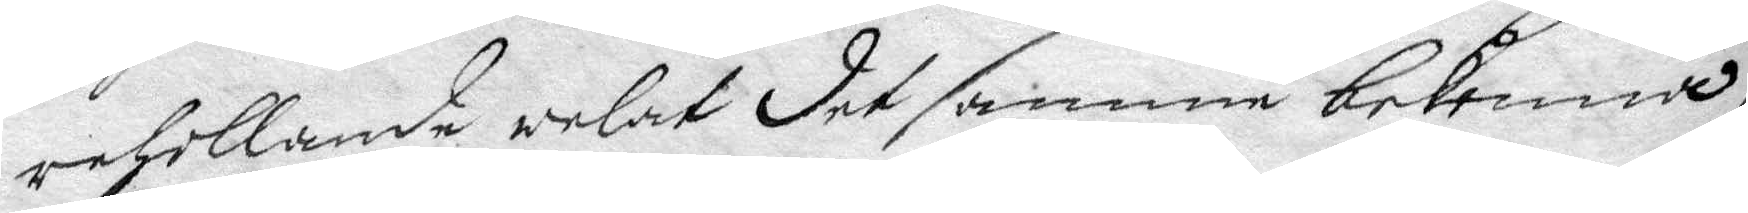rehollande welat det samme bekenna,
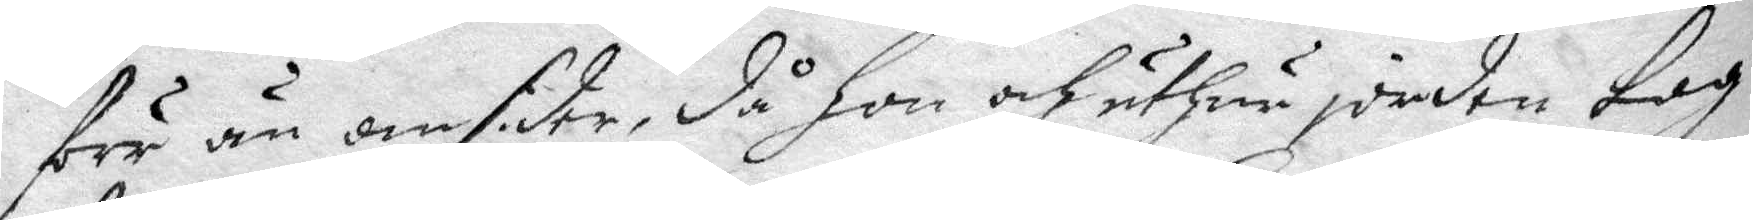förr än omsider, då hon och uthur jorden tog
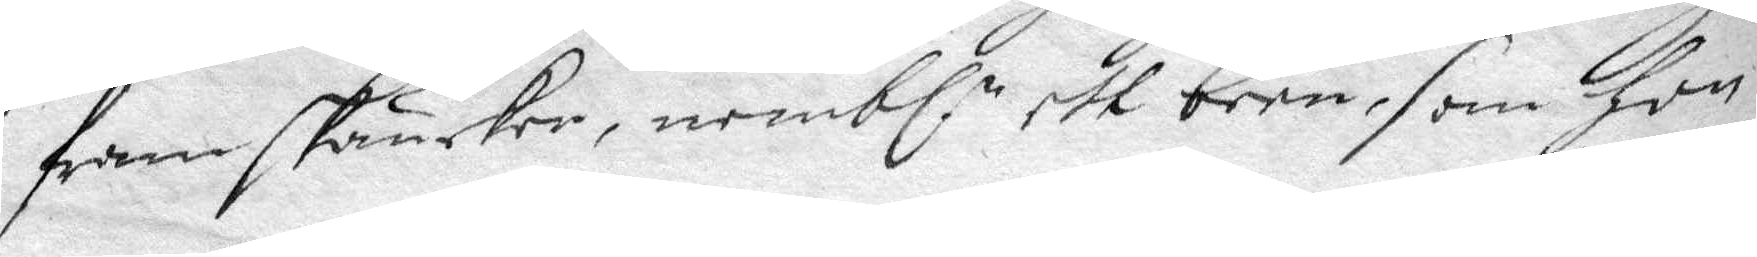fram skäncker, nembl.n ett been, som hon
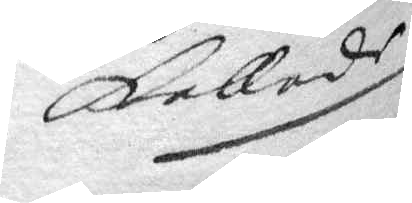kallade
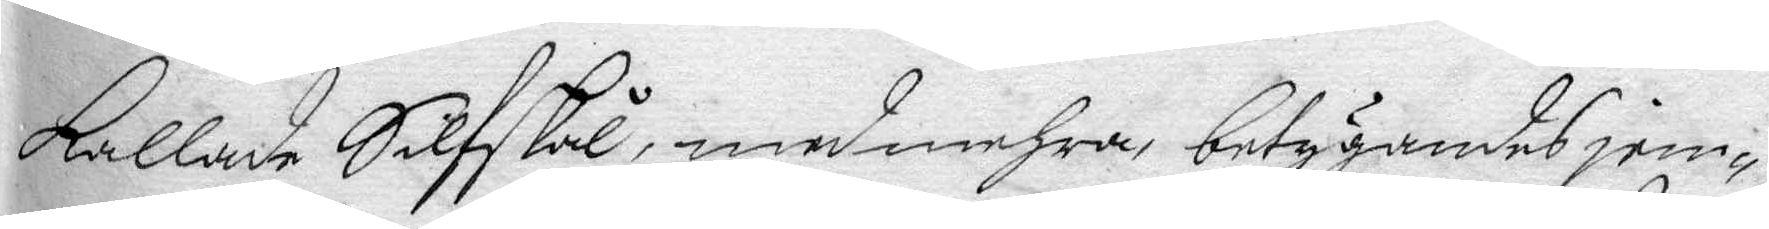kallde Silfskål, med mehra, betygandes jem¬
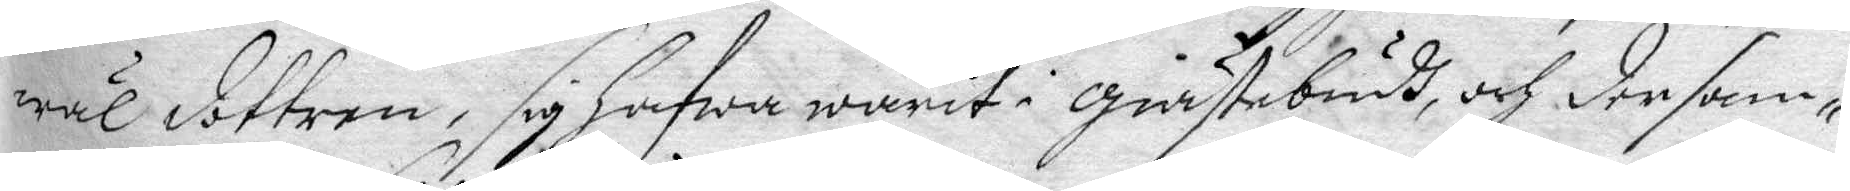wäl dottren, sig hafwa warit i gästebudh, och dersam¬
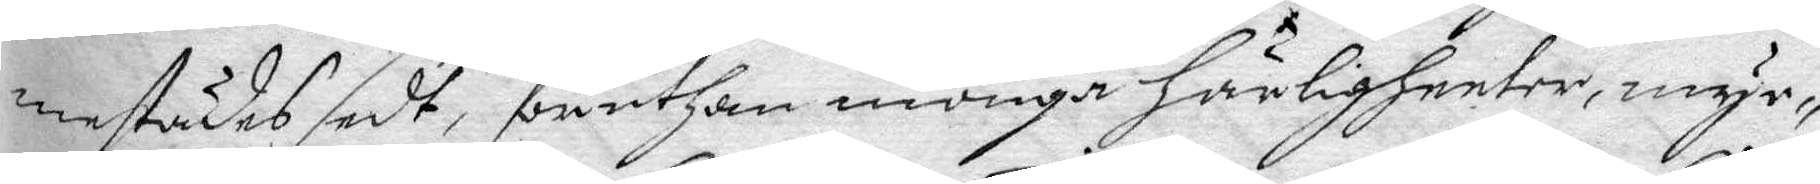mestädes sedt, föruthan monga härligheeter, myc¬
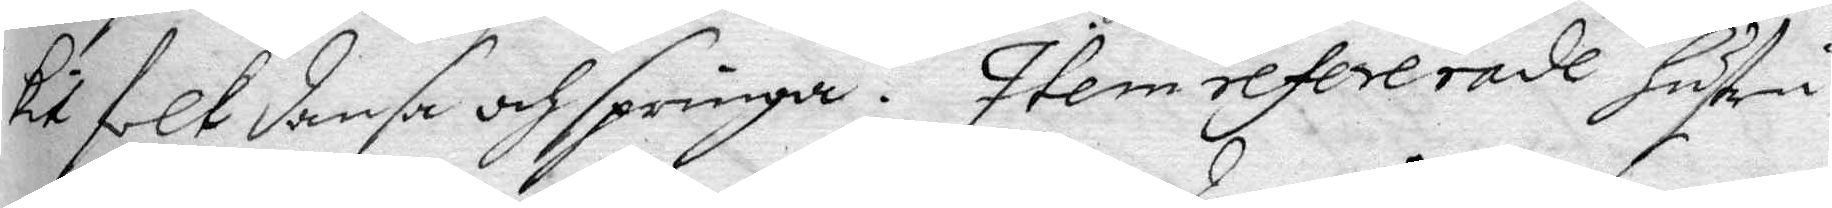kit folk dansa och springa. Item refererade hustru
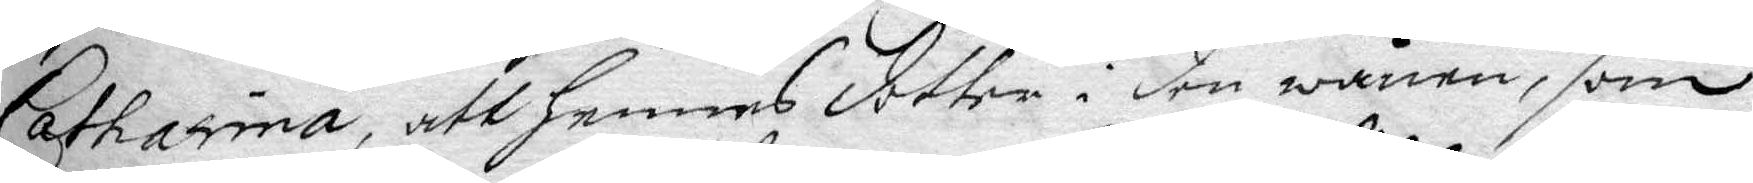Catharina, att hennes dotter i den wånen, som
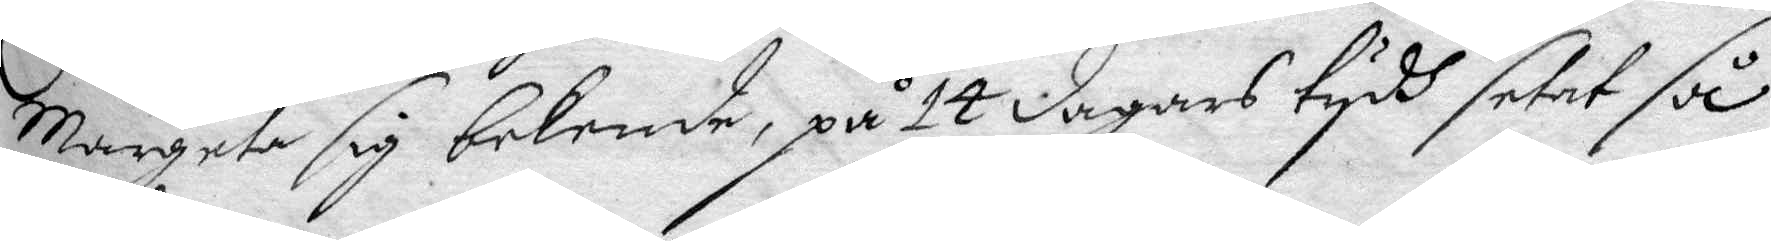Margeta sig bekende, på 14 dagars tydh setat så
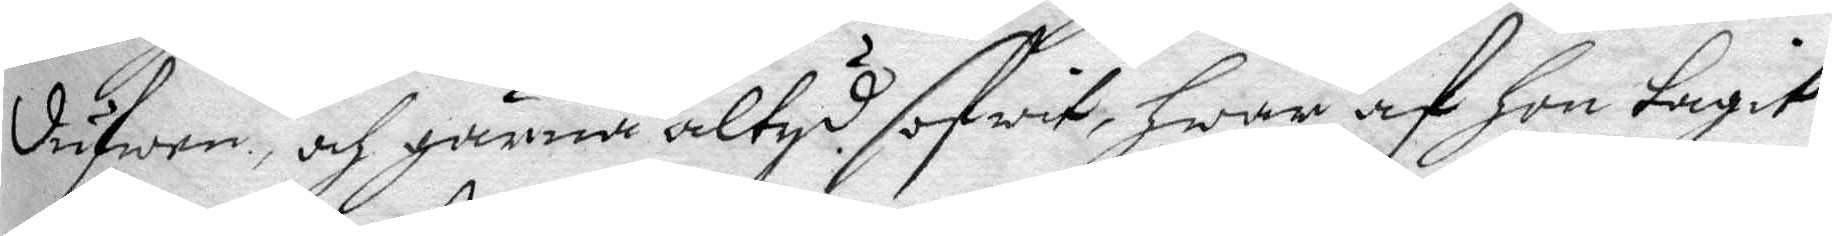dufwen, och gärna altys sofwit, hwar af hon tagit
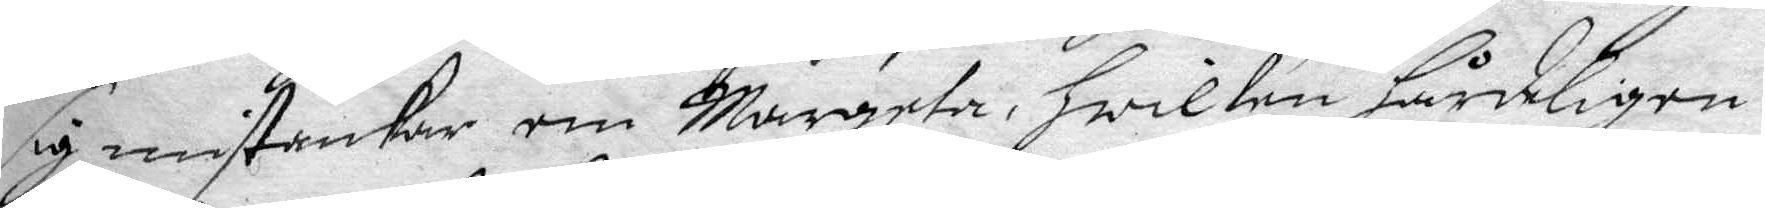sig mistankar om Margeta, hwilken hårdeligen
